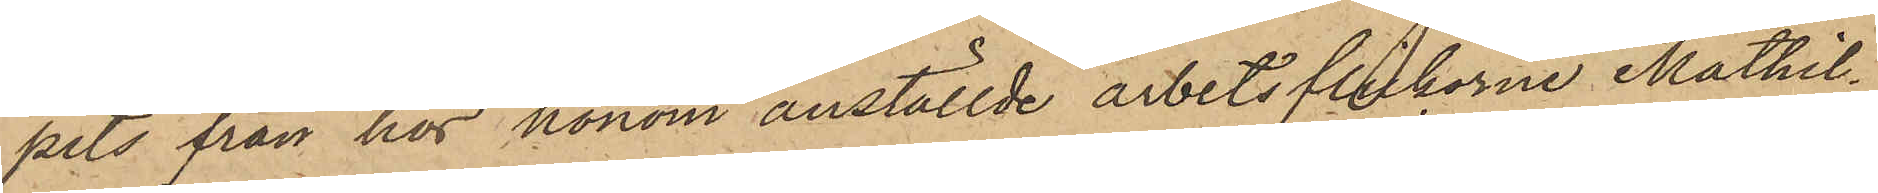pits från hos honom anställde arbetsflickarne Mathil¬
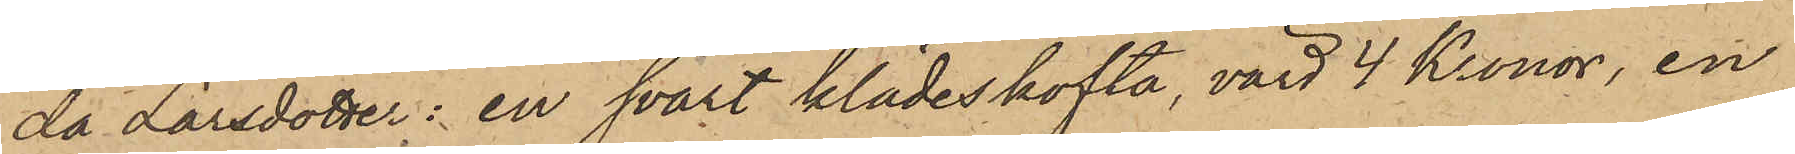da Larsdotter: en svart klädeskofta, värd 4 Kronor, en
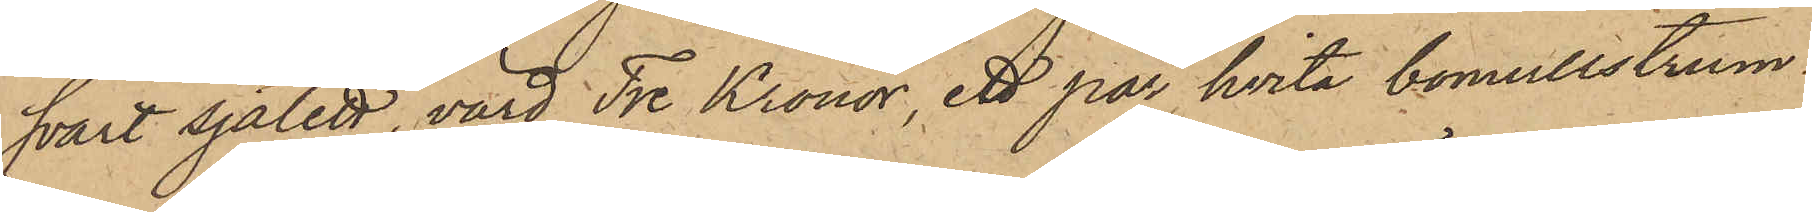svart sjalett, värd Tre Kronor, ett par hvita bomullstrum¬
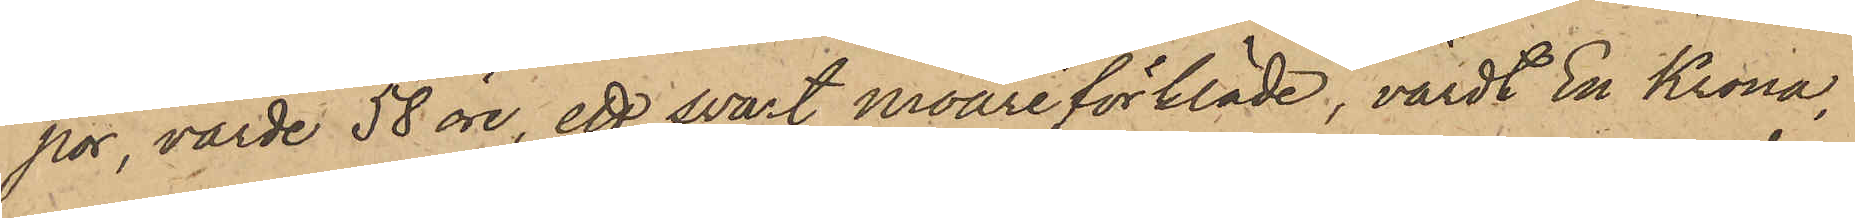por, värde 58 öre, ett svart moaréförkläde, värdt En Krona,
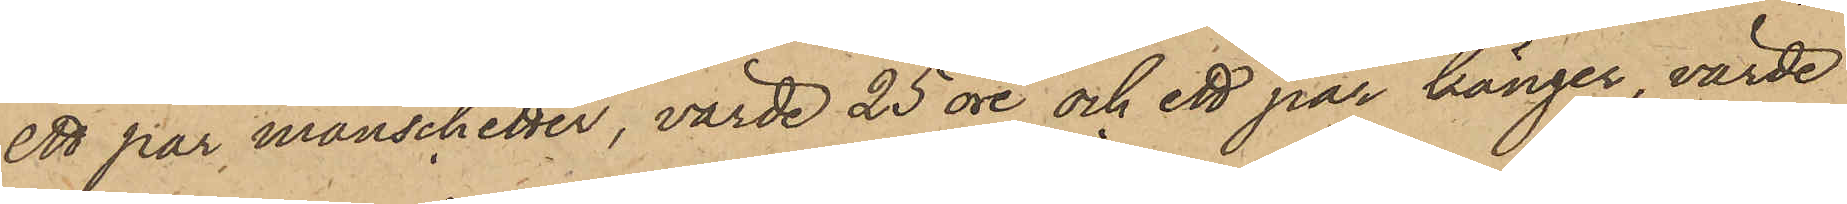ett par manschetter, värde 25 öre och ett par känger, värde
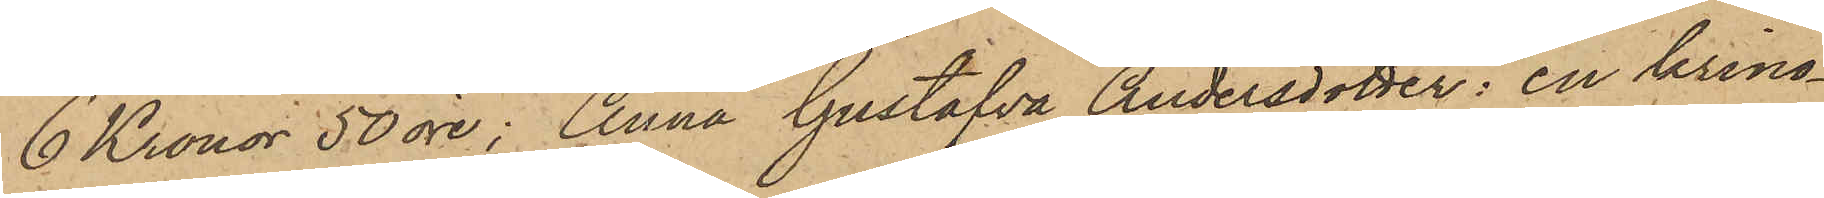6 Kronor 50 öre; Anna Gustafva Andersdotter: en krino¬
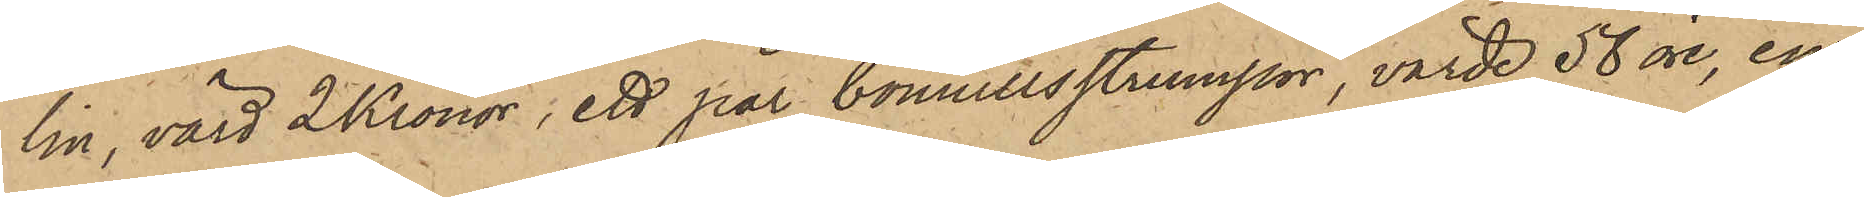lin, värd 2 Kronor, ett par bomullsstrumpor, värde 58 öre, en
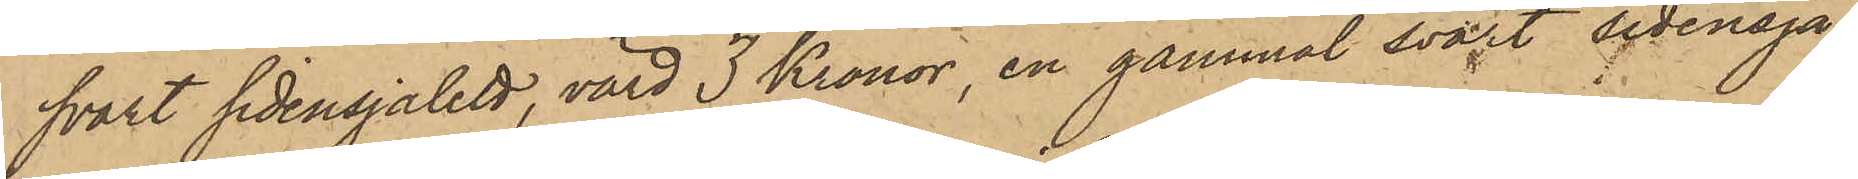svart sidensjalett, värd 3 Kronor, en gammal svart sidensja¬
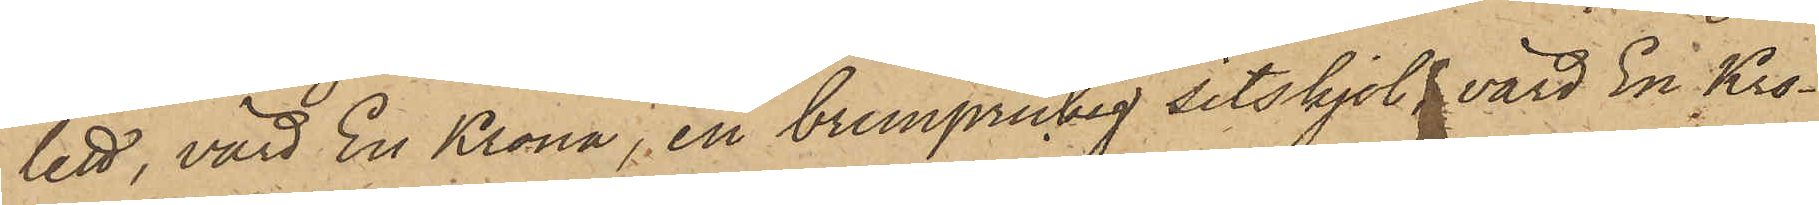lett, värd En Krona, en brunprickig sitskjol, värd En Kro¬
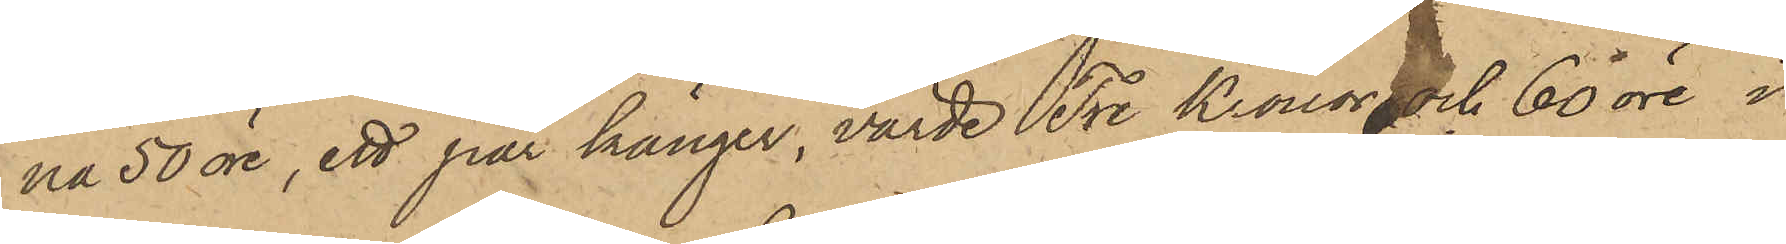na 50 öre, ett par känger, värde Tre Kronor och 60 öre i
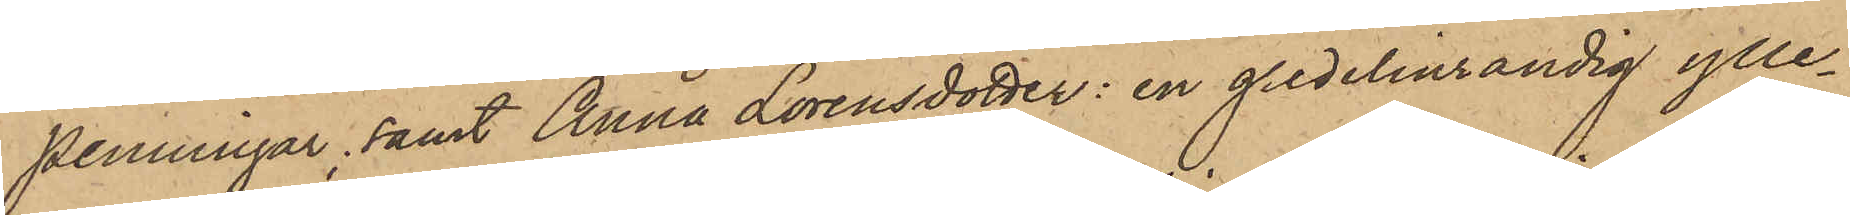penningar, samt Anna Lorensdotter: en gredelinrandig ylle¬
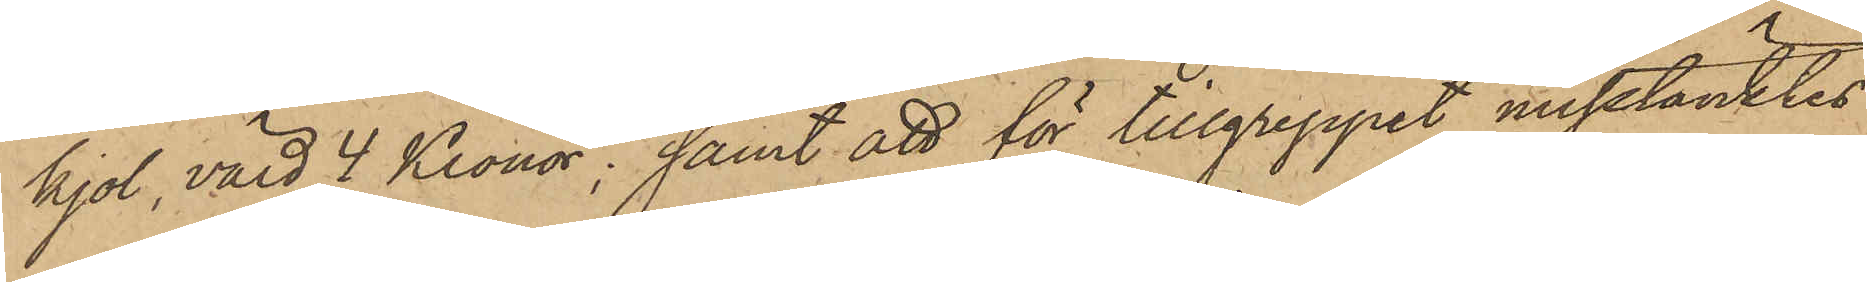kjol, värd 4 Kronor; samt att för tillgreppet misstänktes
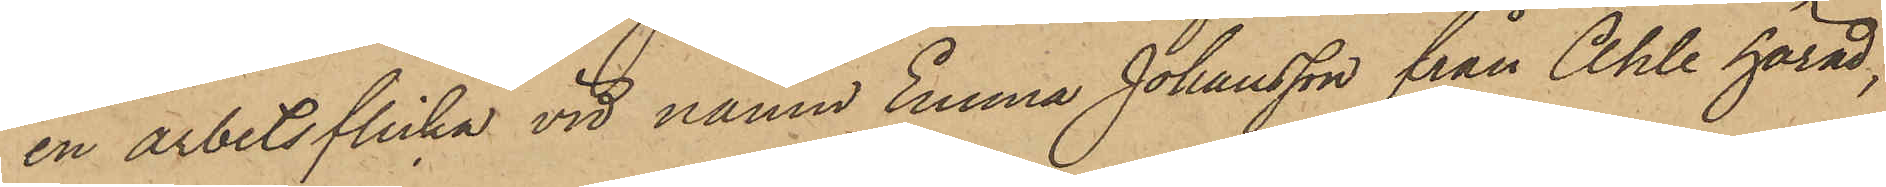en arbetsflicka vid namn Emma Johansson från Ahle härad,
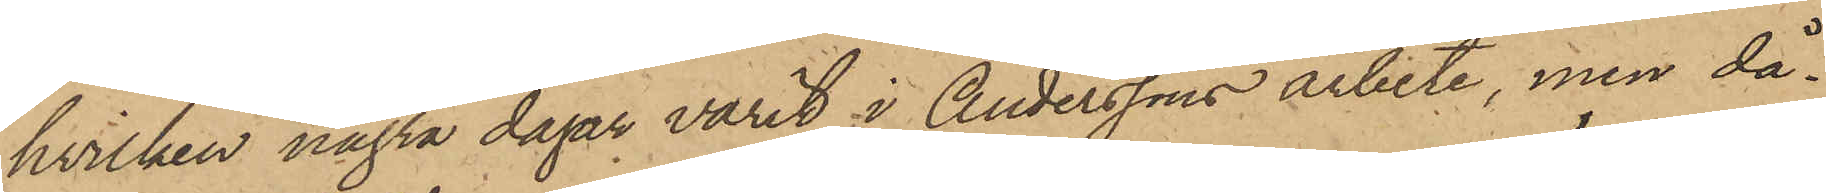hvilken några dagar varit i Anderssons arbete, men då¬
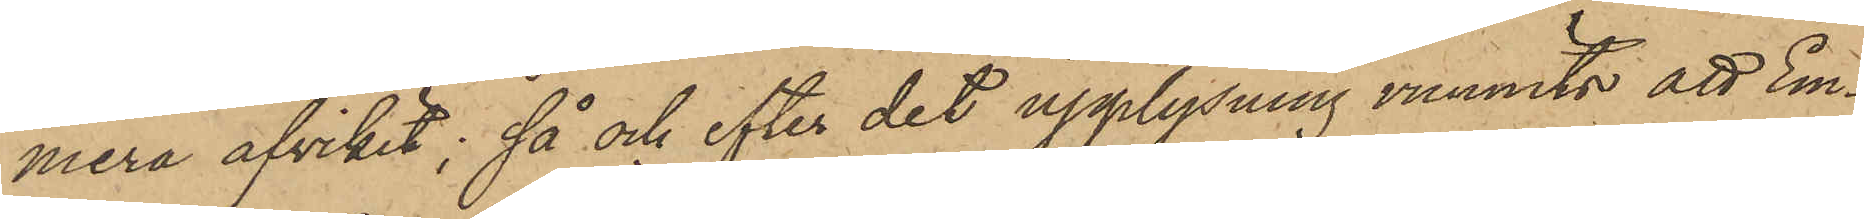mera afvikit; så och efter det upplysning vunnits att Em¬
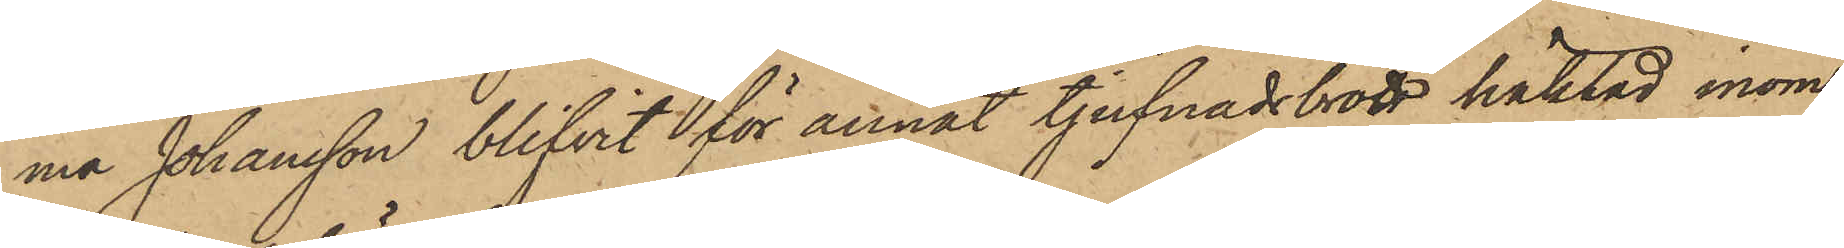ma Johansson blifvit för annat tjufnadsbrott häktad inom
